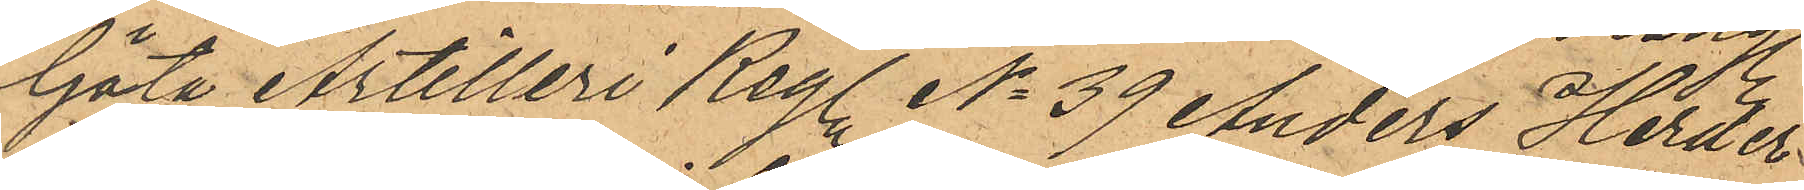Göta Artilleri Reg. No 39 Anders Herder
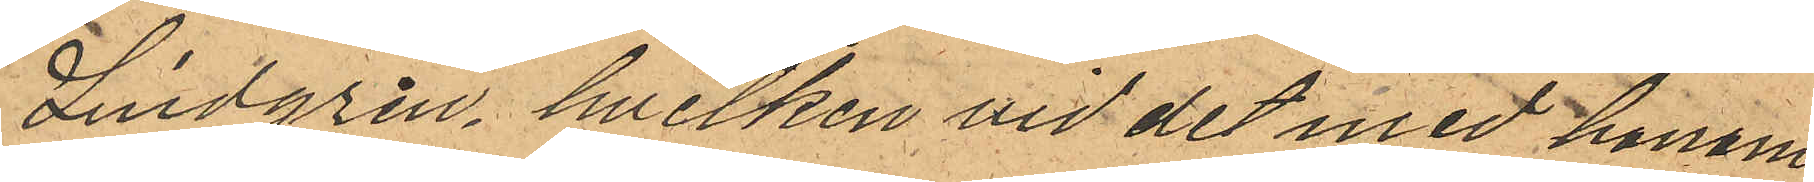Lindgren, hvilken vid det med honom
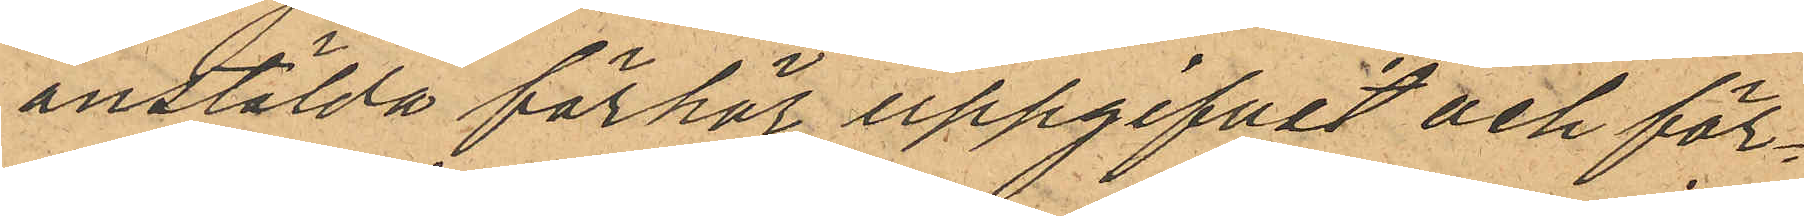anstälda förhör uppgifvit och för¬
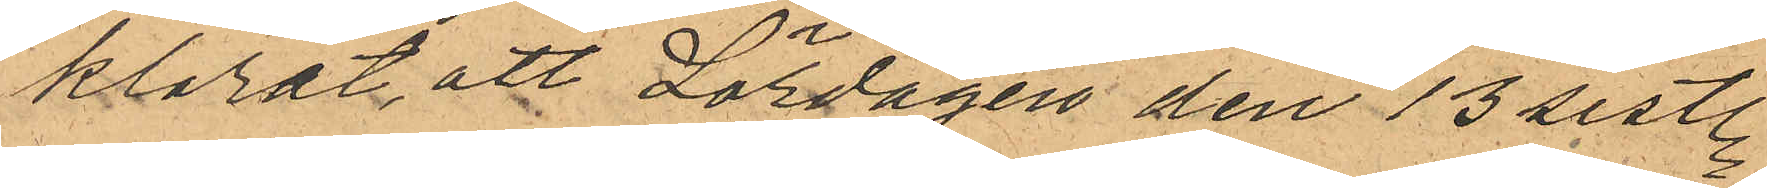klarat att Lördagen den 13 sistl.
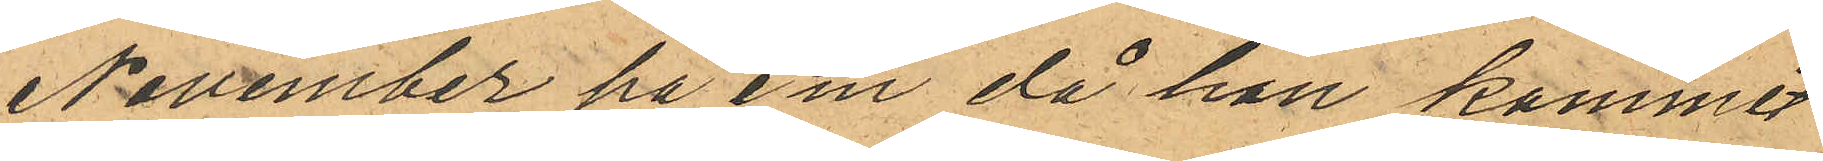November på e m då han kommit
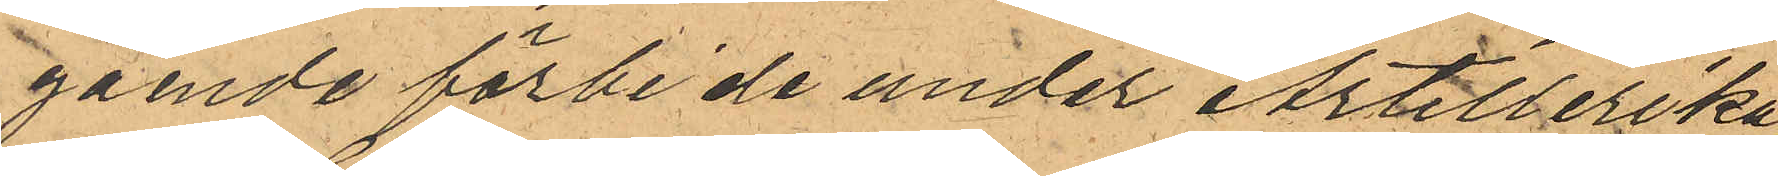gående förbi de under Artillerika¬
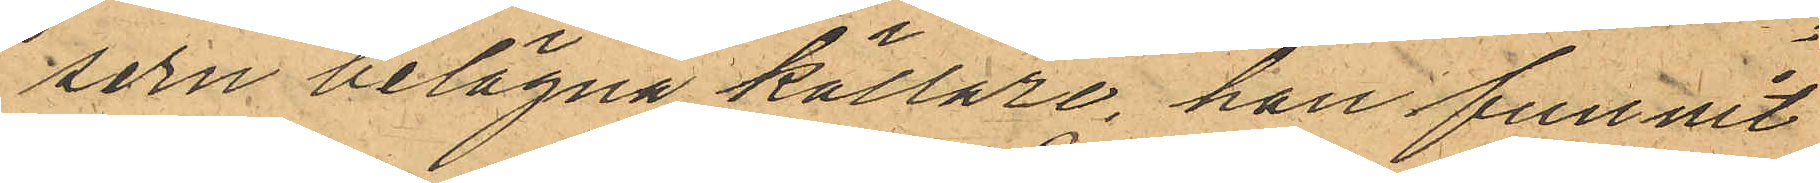sern belägna källare, han funnit
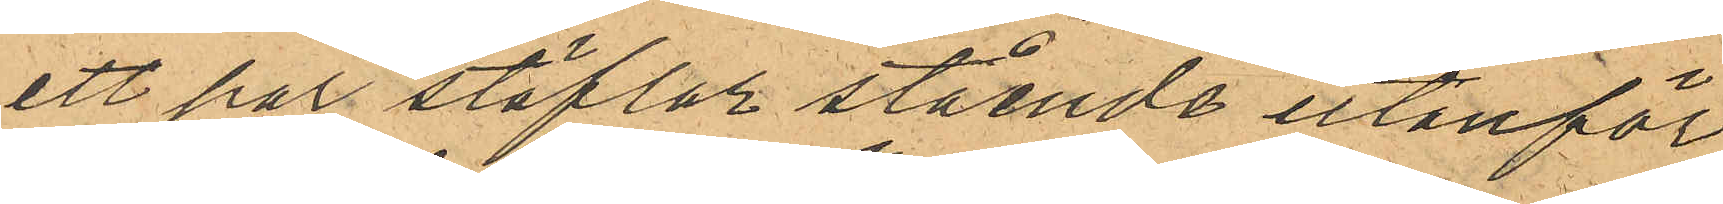ett par stöflar stående utanför
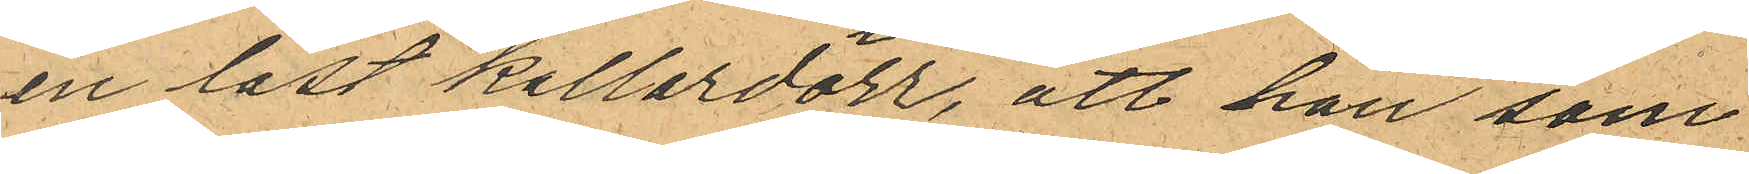en låst kallardörr, att han som
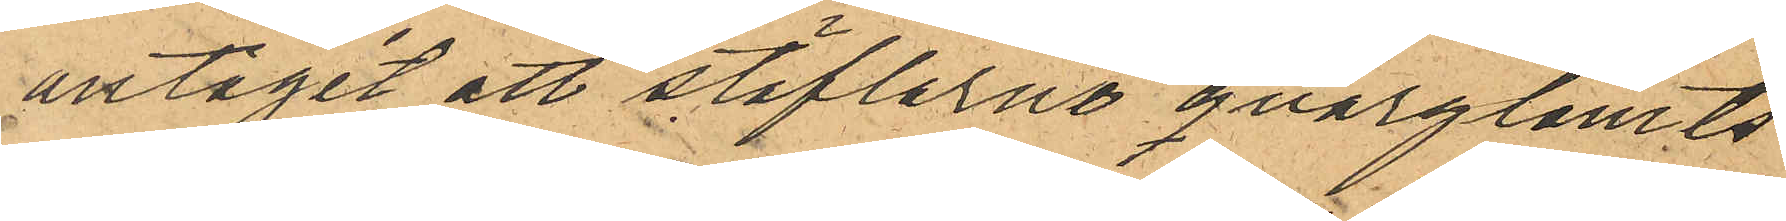antagit att stöflerne qvarglömts,
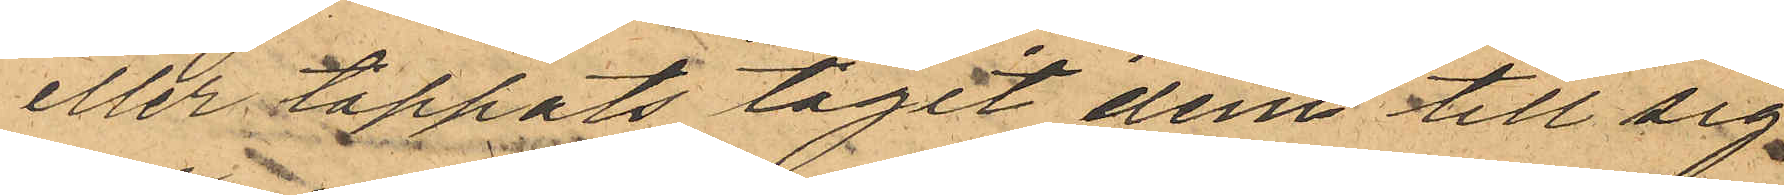eller tappats tagit dem till sig
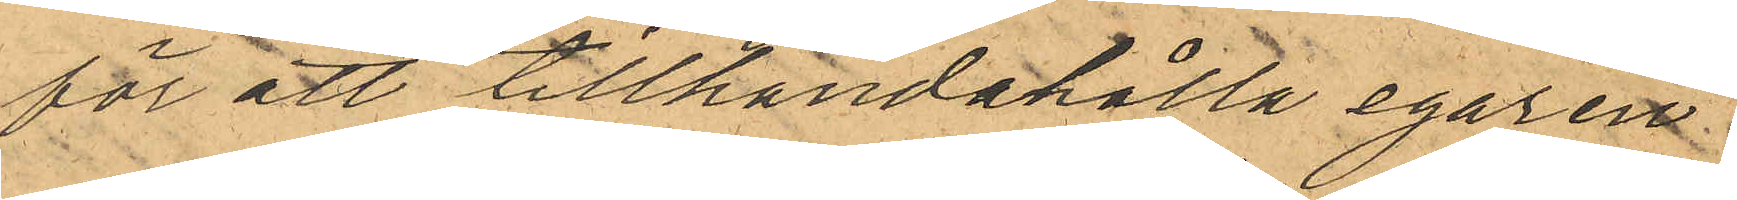för att tillhandahålla egaren
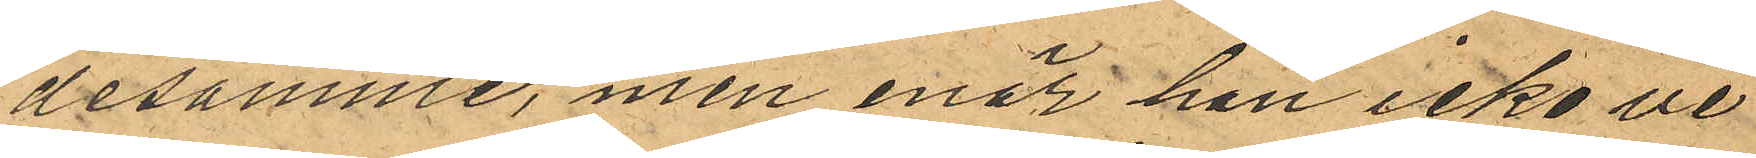desamme, men enär han icke ve¬
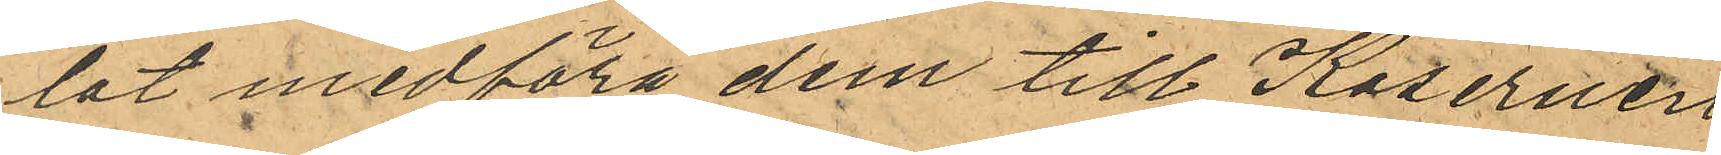lat medföra dem till Kasernen
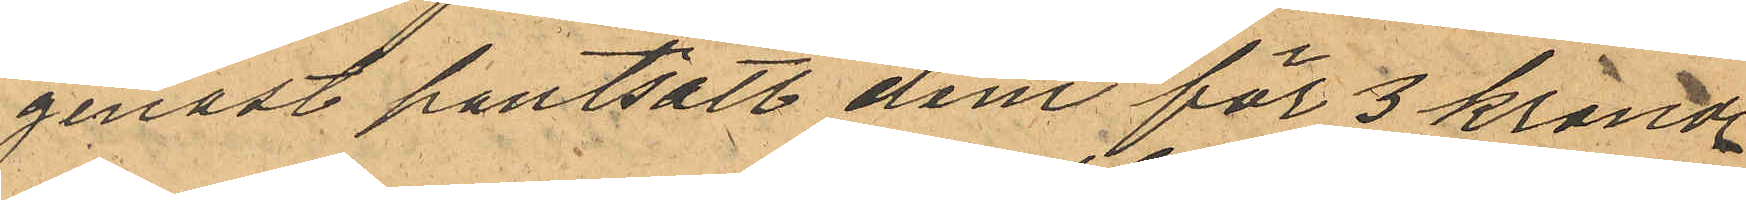genast pantsatt dem för 3 kronor
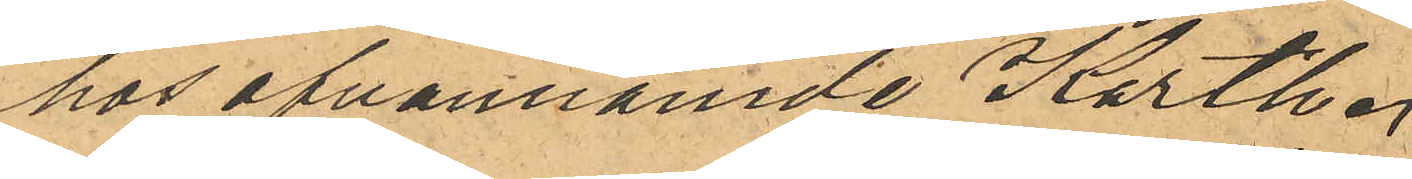hos ofvannämde Karth.
